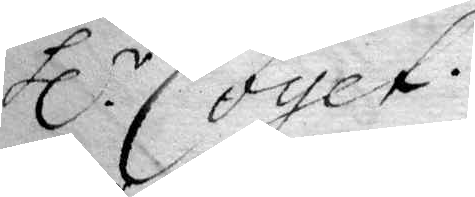hl.r Coyet.
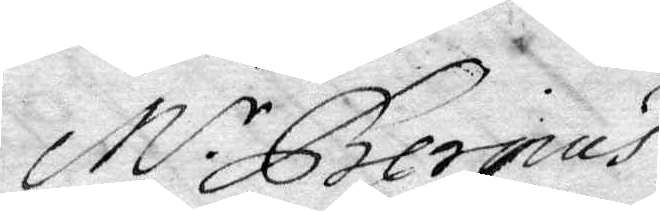M.r Bergius
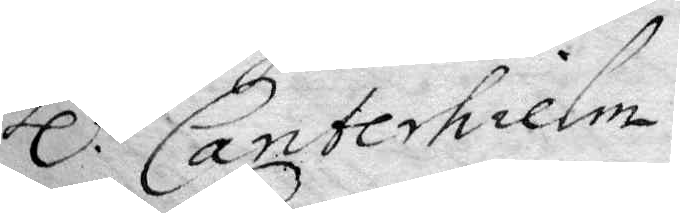hl.r Canterhilem
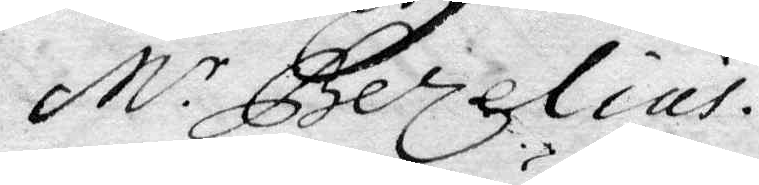M.r Berzelius.
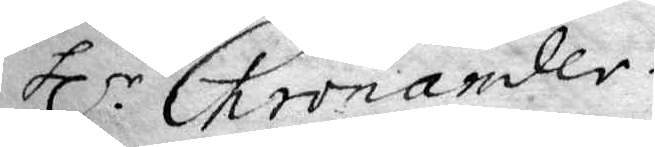hl.r Chronander
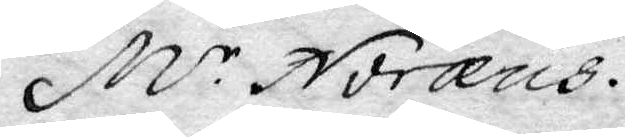M.r Noræus.
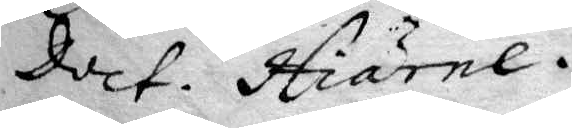Doct. Hiärne. 
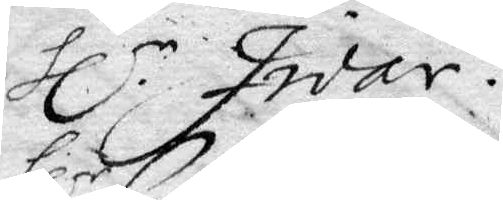hl.r Iwar.
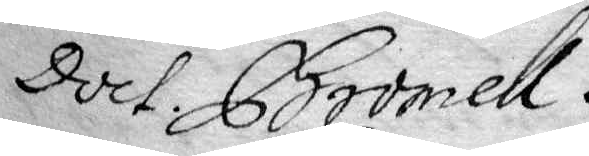Doct. Bromell. 
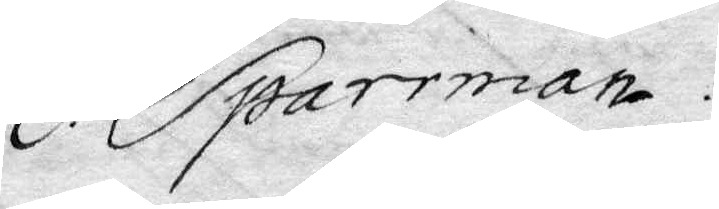hl.r Sparrman
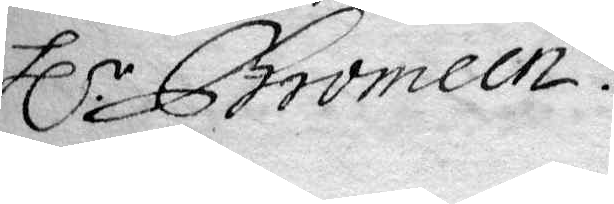hl.r Chromeen
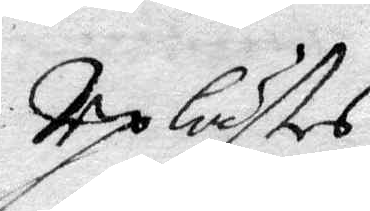Uplästes
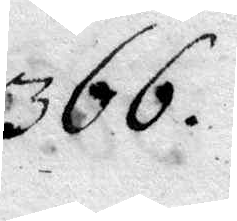366.
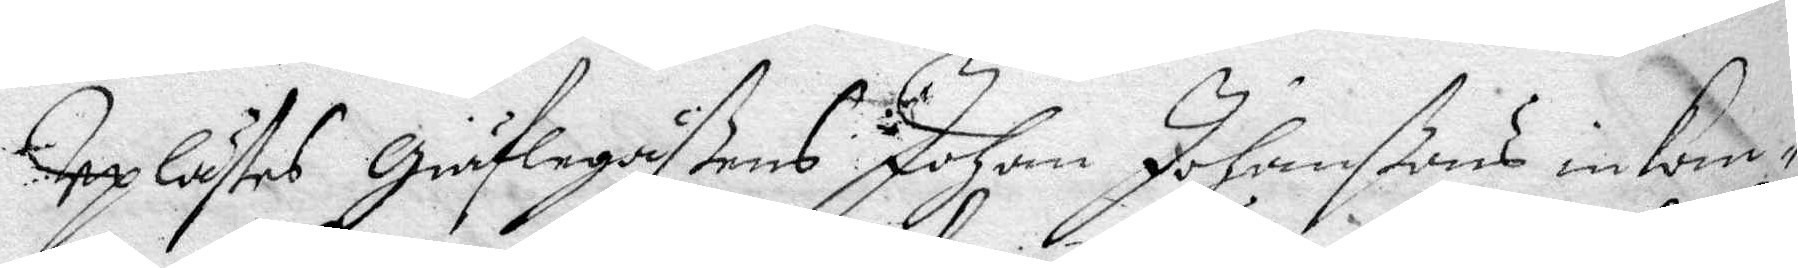Uplästes Giäflegåßens Johan Johanßons inkom¬
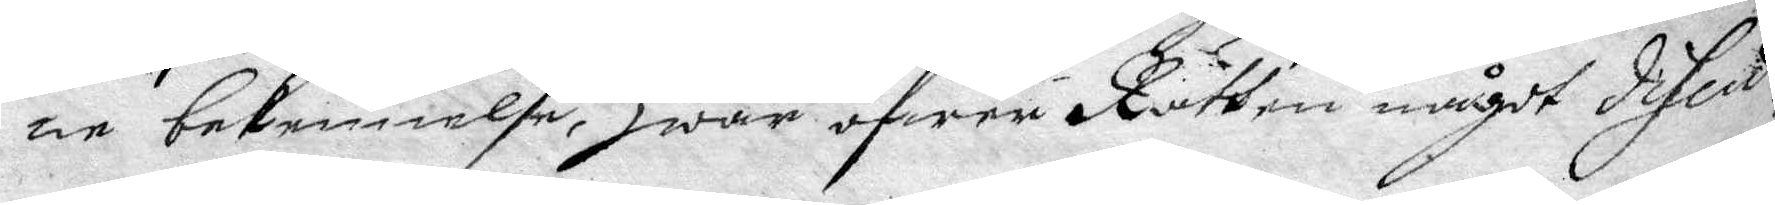ne bekennelse, Hwar öfwer Rätten något discut¬
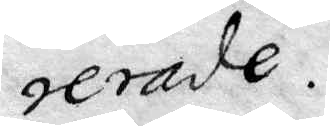erade.
